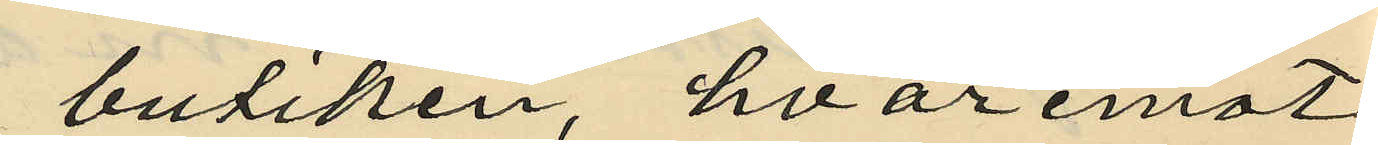butiken, hvaremot
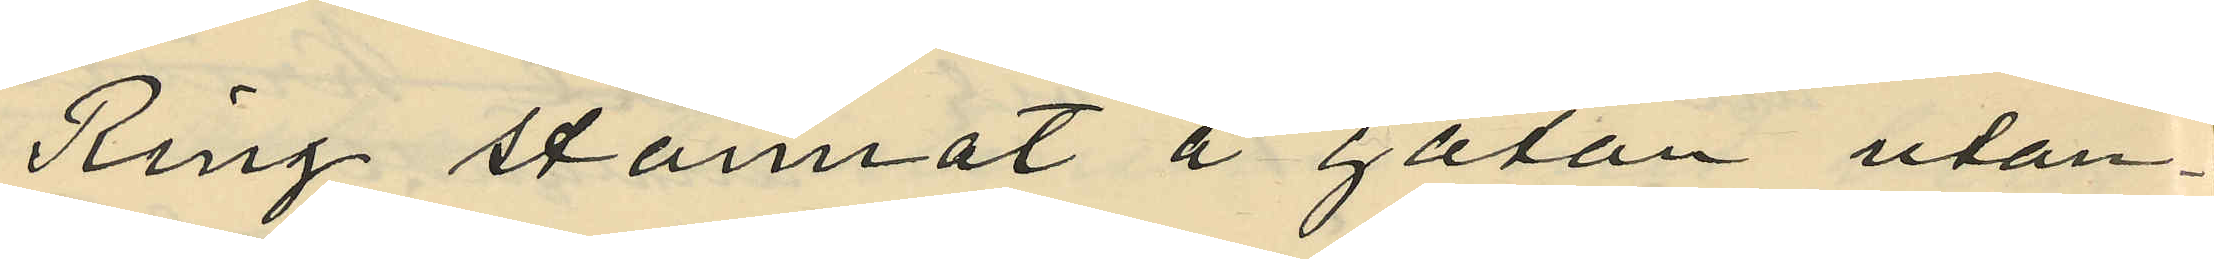Ring stannat å gatan utan¬
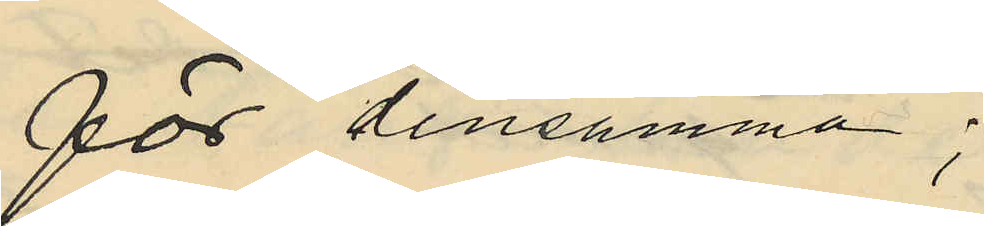för densamma;
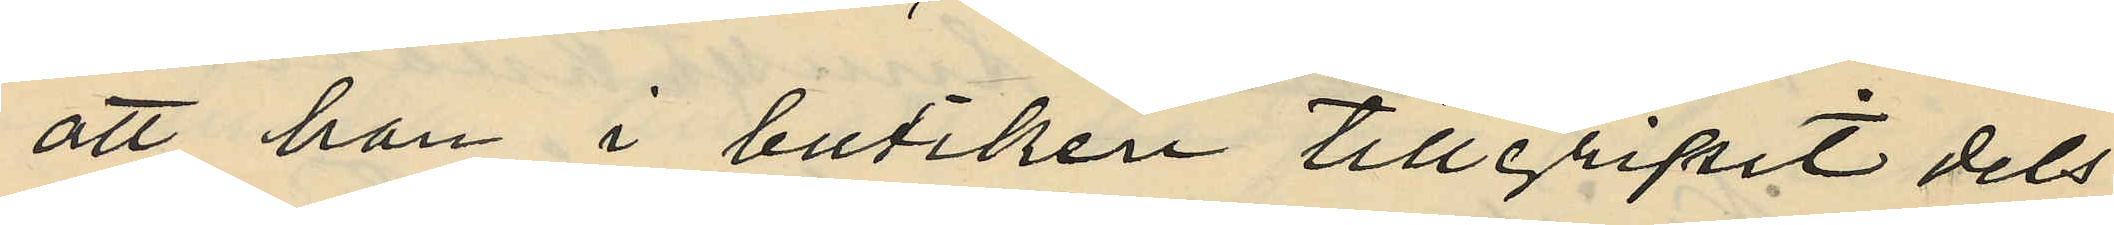att han i butiken tillgripit dels
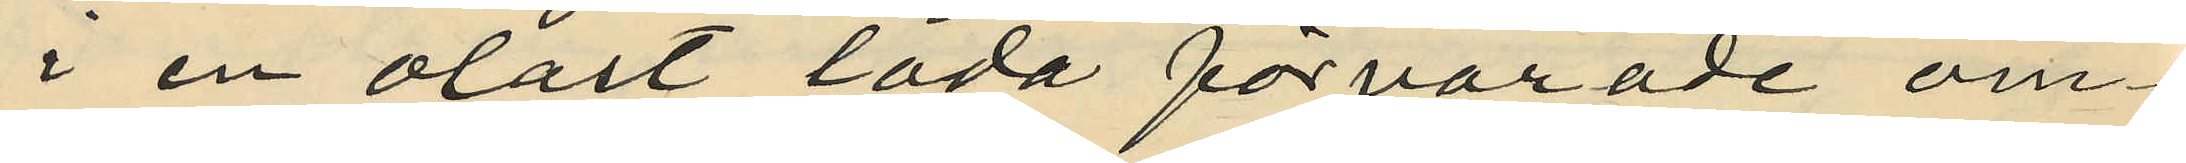i en olåst låda förvarade om¬
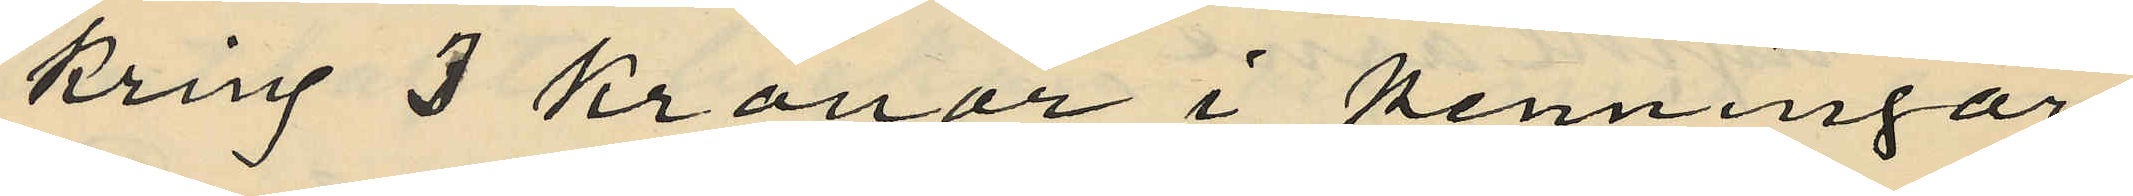kring 3 Kronor i penningar
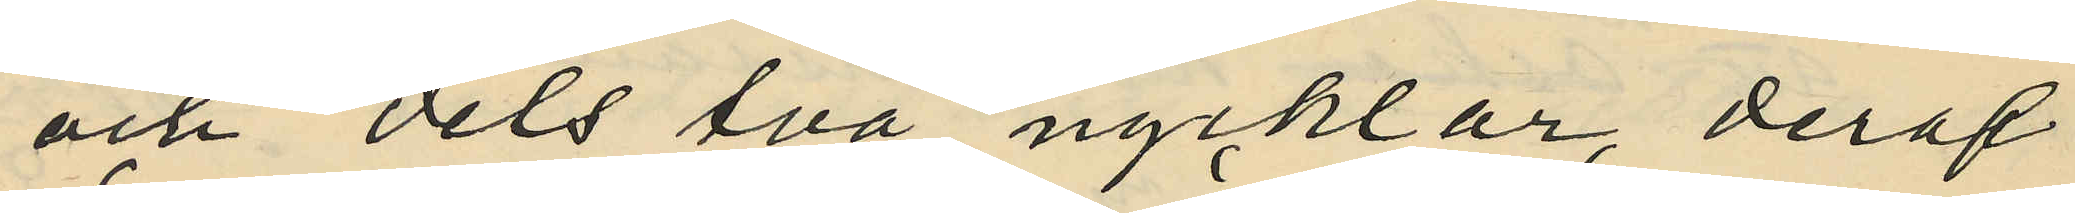och dels två nycklar, deraf
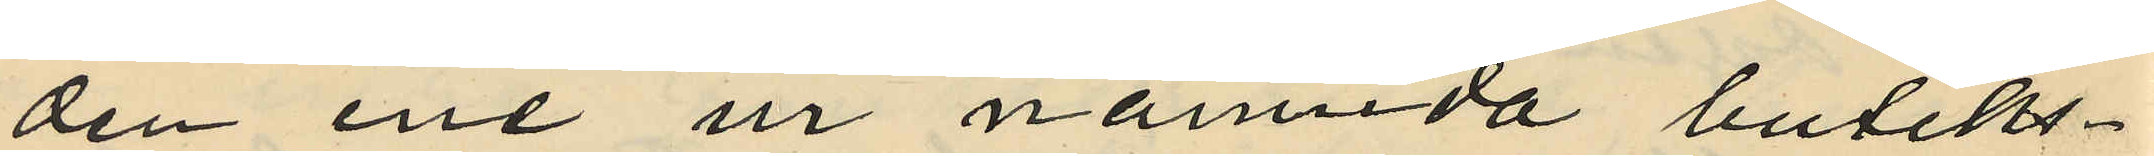den ene ur nämnda butiks¬
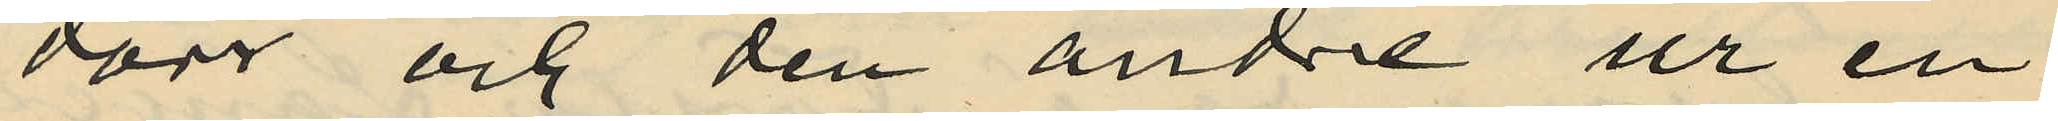dörr och den andre ur en
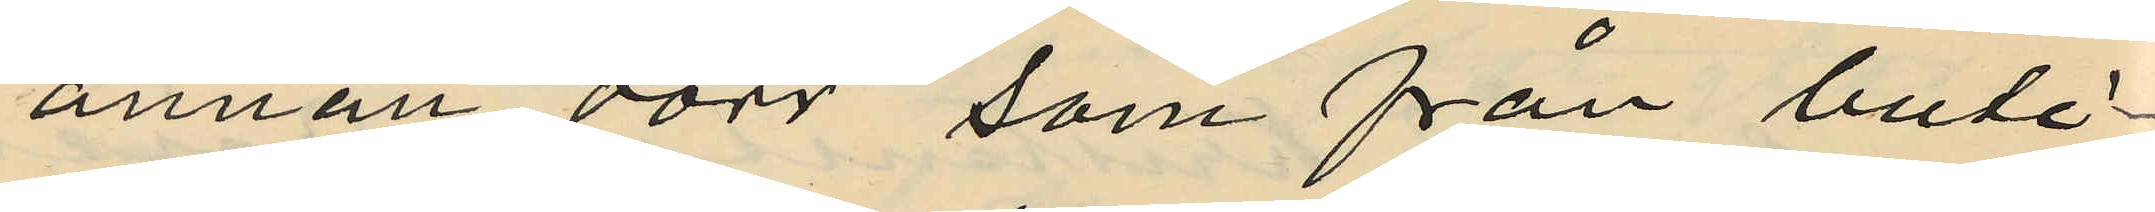annan dörr, som från buti¬
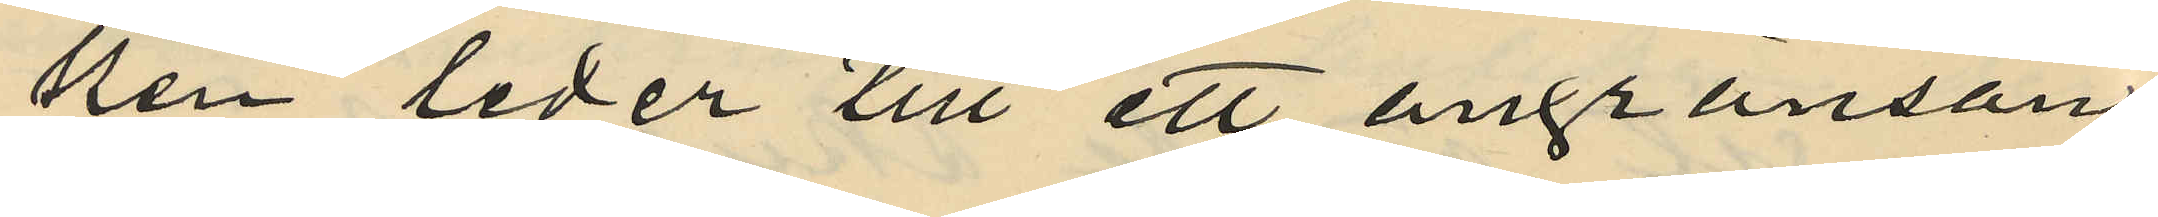ken leder till ett angränsan¬
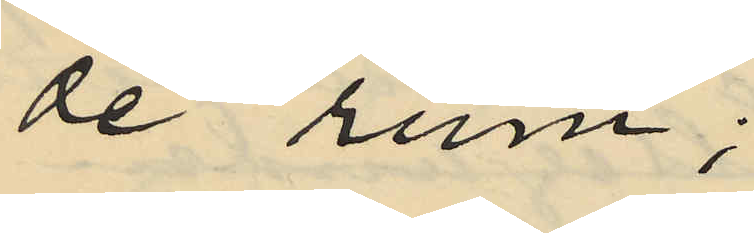de rum;
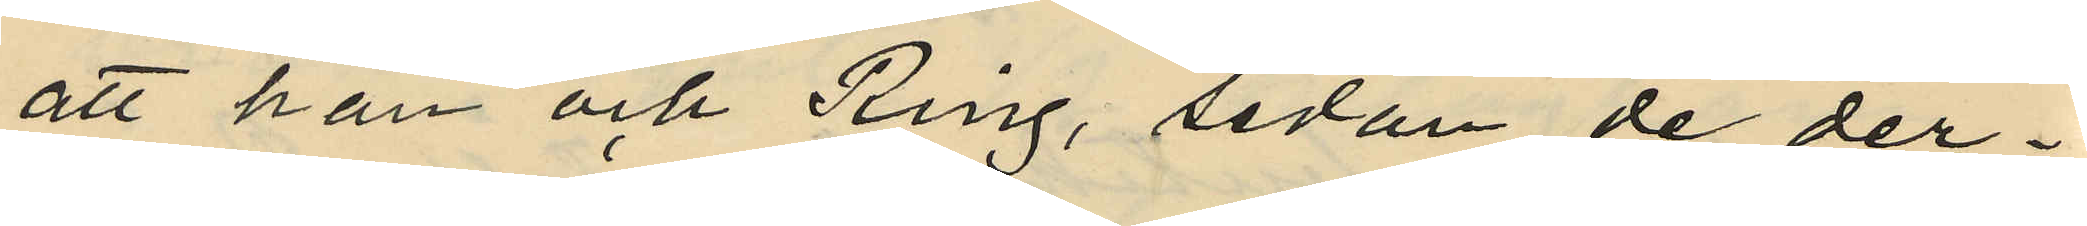att han och Ring, sedan de der¬
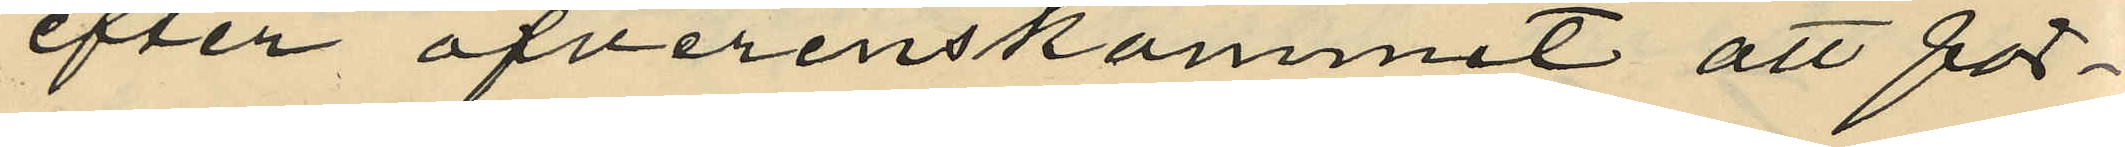efter öfverenskommit att för¬
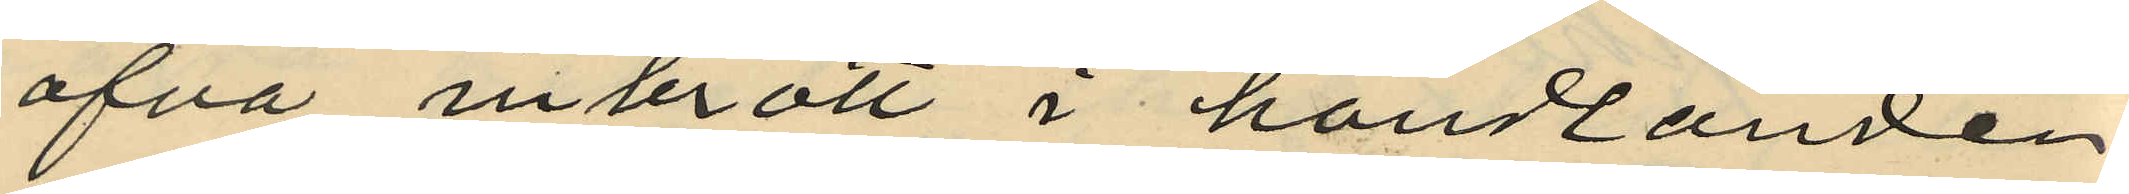öfva inbrott i handlanden
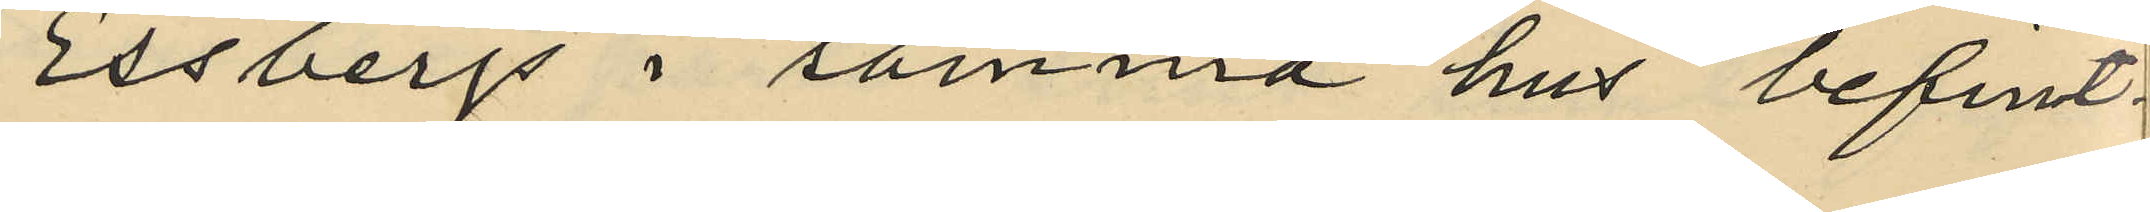Essbergs i samma hus befint¬
